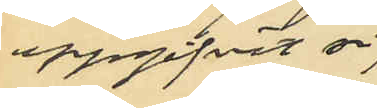uppgifvit sig
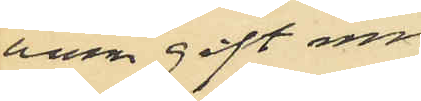vara gift med
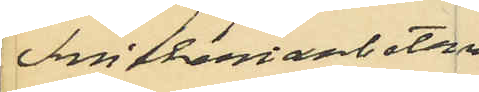Snickeriarbetaren
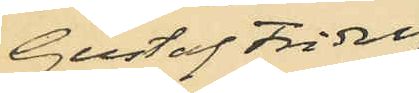Gustaf Fridolf
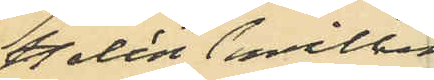Halén hvilken
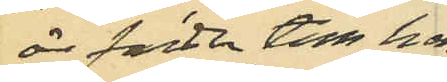är fader till hen¬
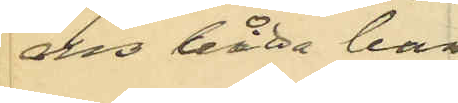nes båda barn
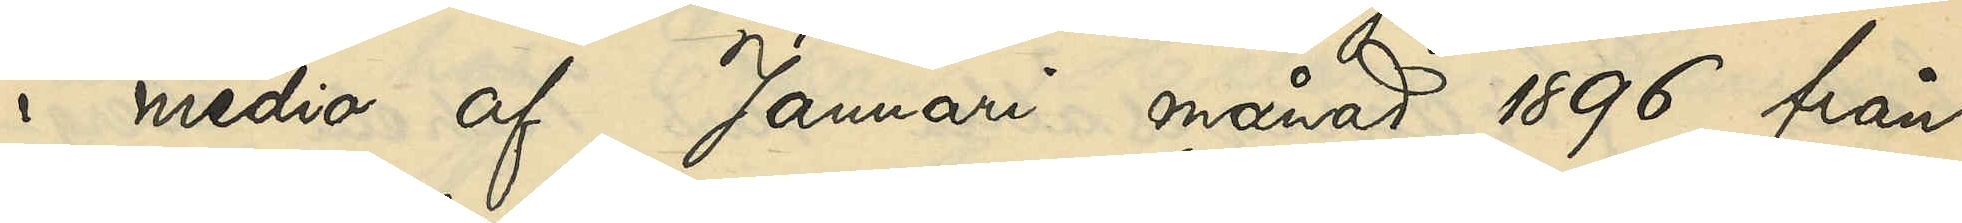i medio af Januari månad 1896 från
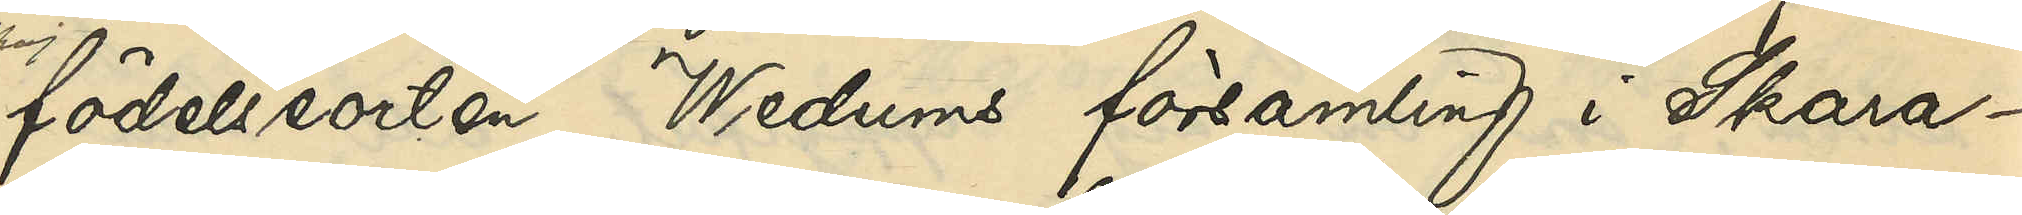födelseorten, Wedums församling i Skara¬
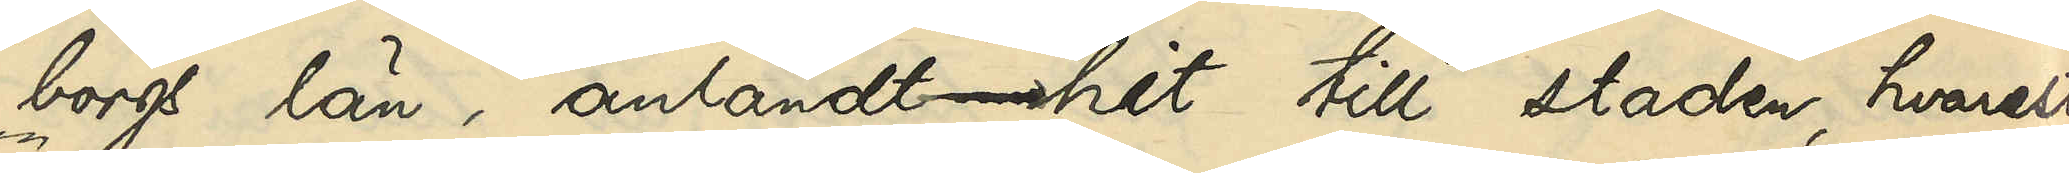borgs län, anländt hit till staden, hvarest
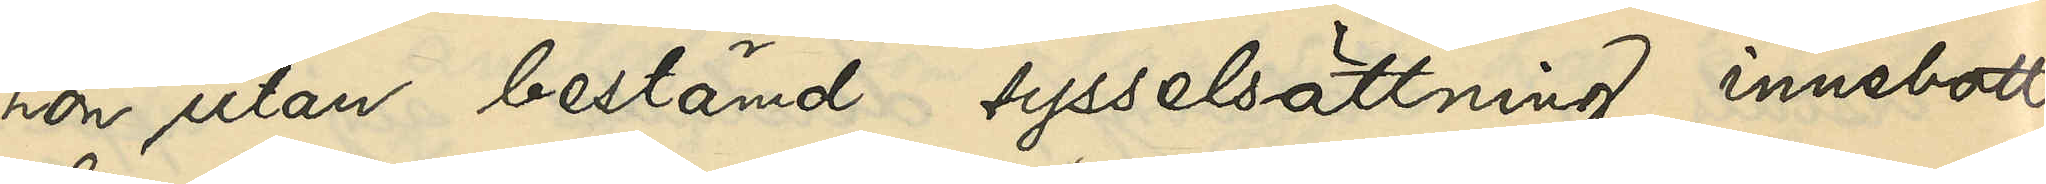hon utan bestämd sysselsättning innebott
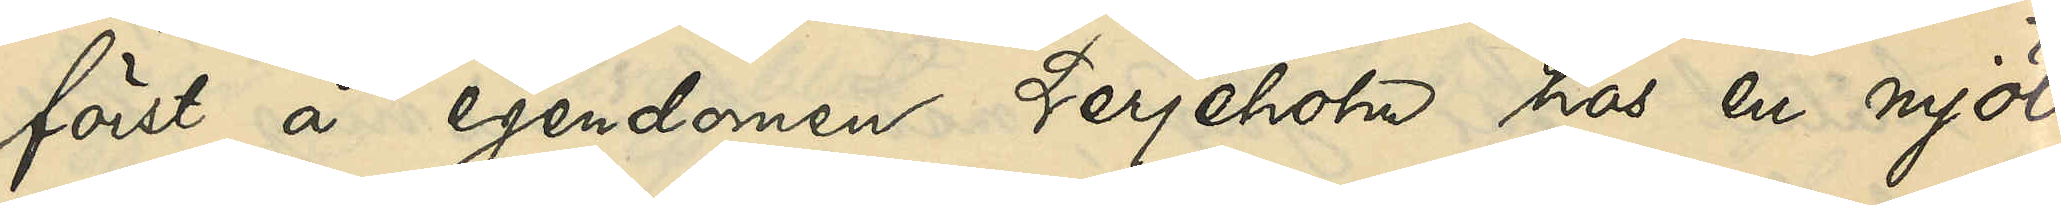först å egendomen Lerjeholm hos en mjöl¬
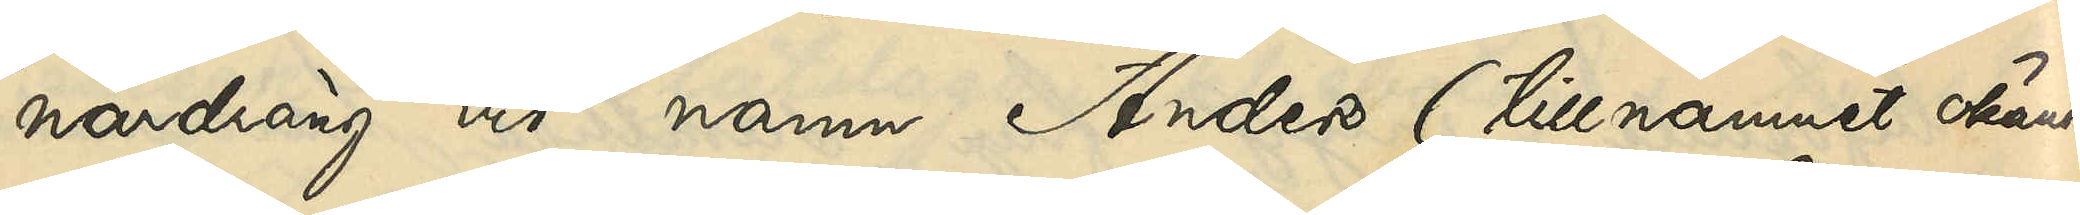nardräng vid namn Anders (tillnamnet okändt)
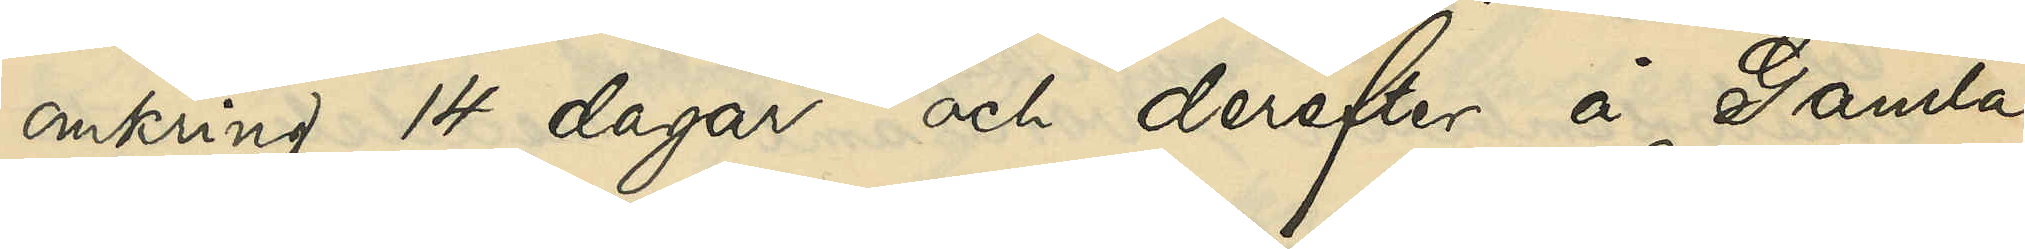omkring 14 dagar och derefter å Gamla
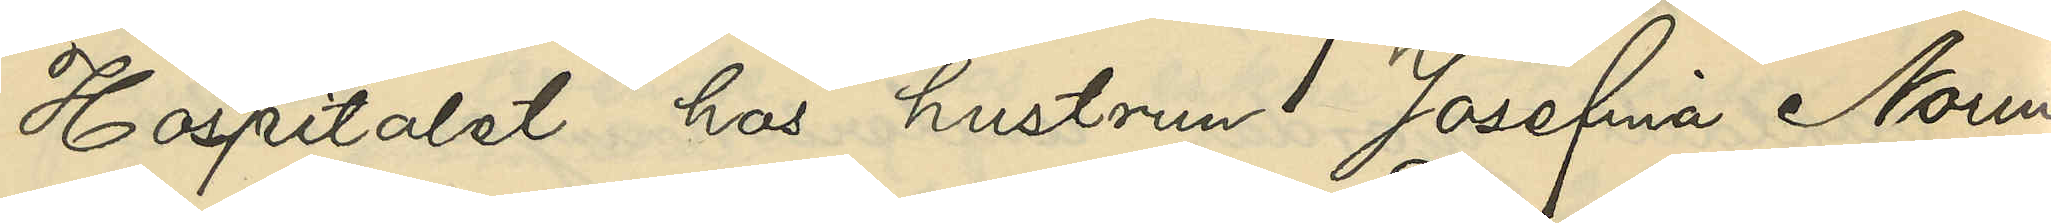Hospitalet hos hustrun Josefina Norin
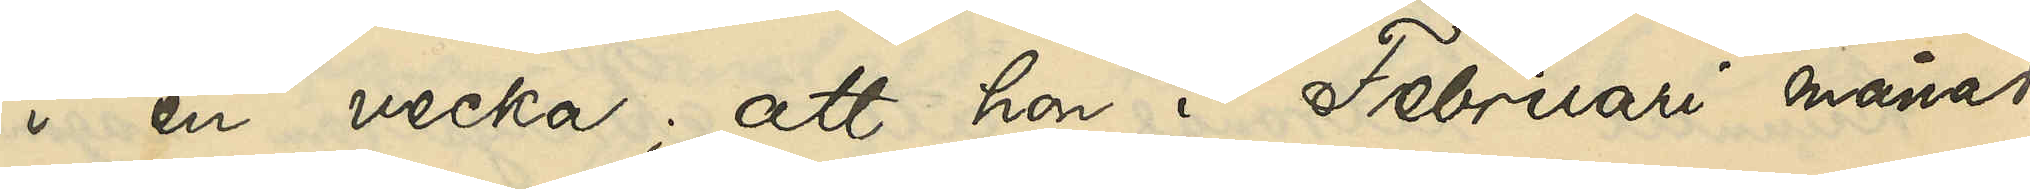i en vecka; att hon i Februari månad
